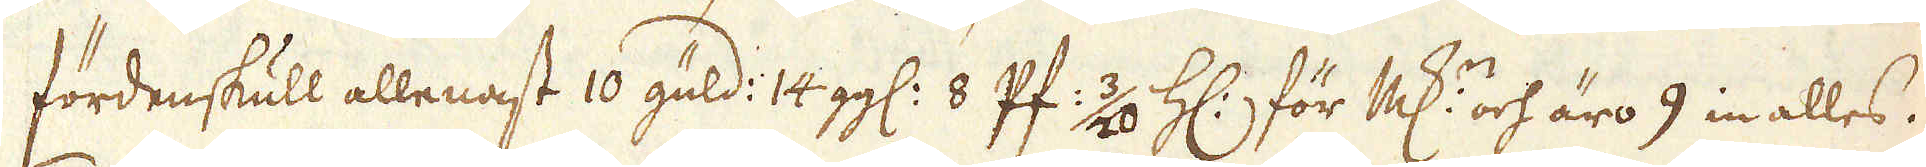fördenskull allenast 10 guld: 14 gg: 8 Pf: 3/20 Hs:, för Marker och äro 9 in alles.
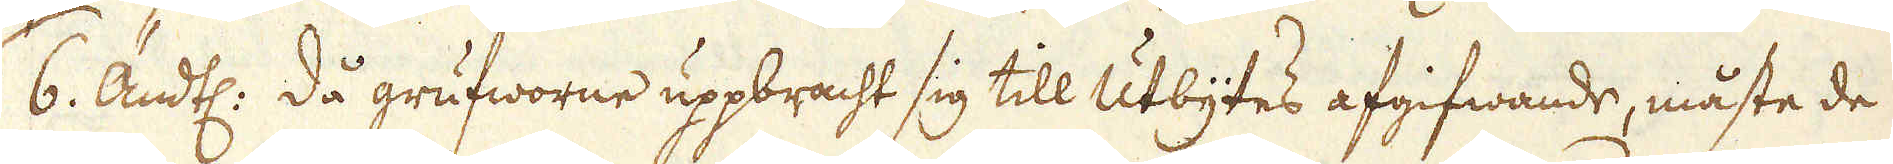6. Ändtl: då grufworne uppbracht sig till Utbytes afgifwande, måste de
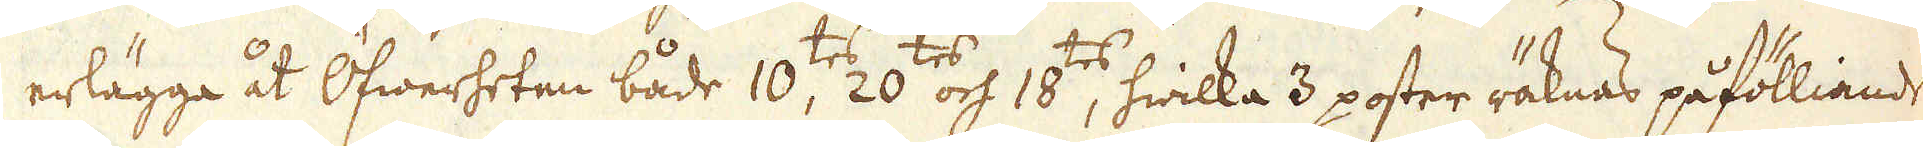erlägga åt Öfwerheten både 10:tes, 20:tes och 18:tes, hwilka 3 poster räknas påfölliande
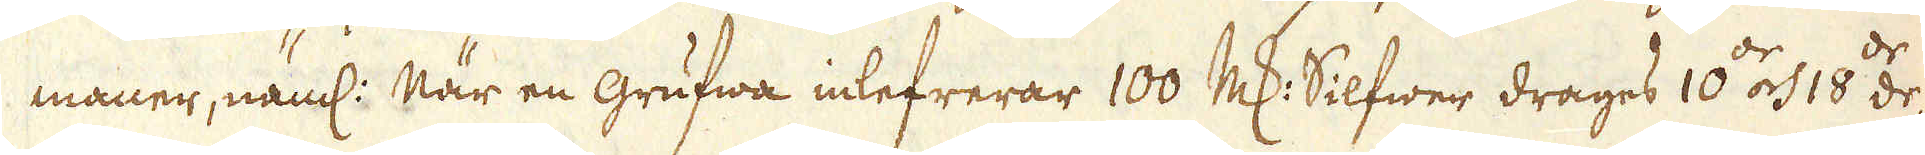maner, näml: När en grufwa inlefrerar 100 marker Silfwer drages 10:de och 18:de de-
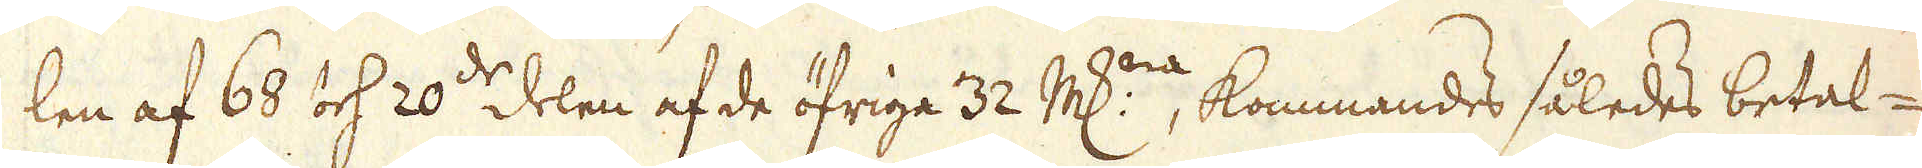len af 68 och 20:de delen af de öfriga 32 markerna, kommandes således betal-
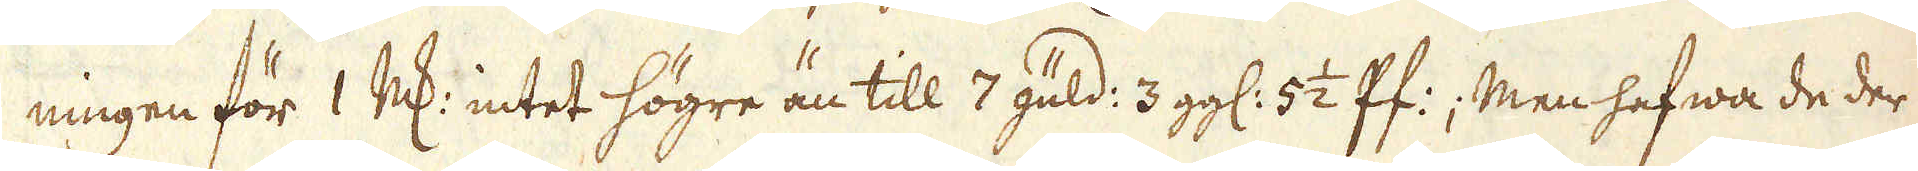ningen för 1 marker intet högre än till 7 güld: 3 gg: 5 1/2 Pf:; Men hafwa de der
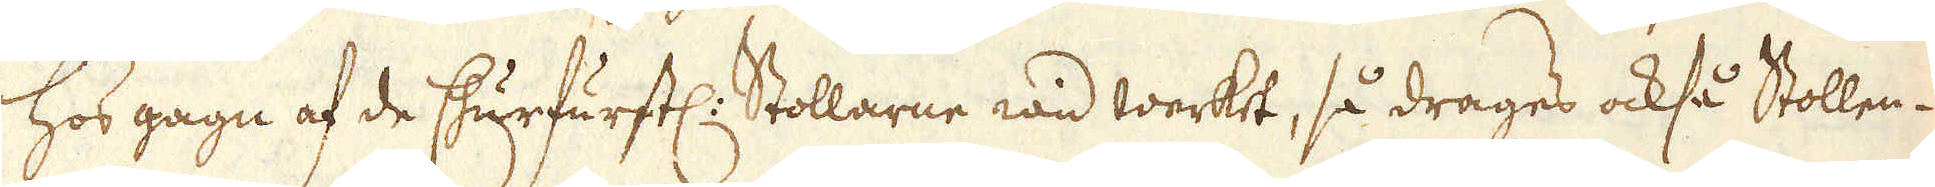hos gagn af de Churfurstl: Stollarne wid werket, så drages också Stollen-
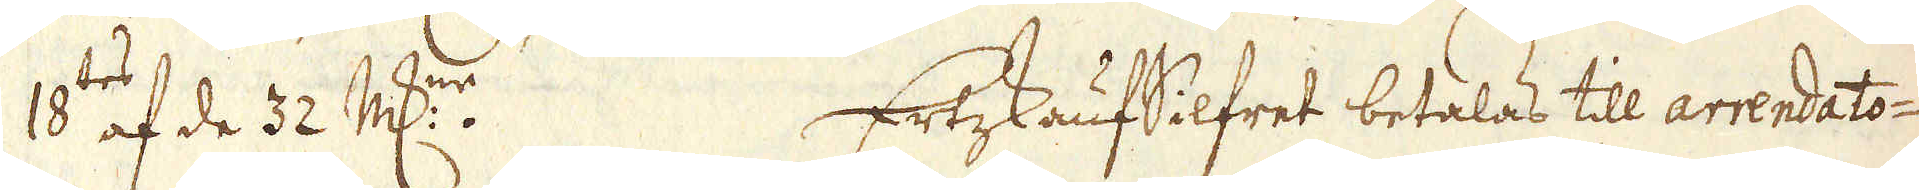18:tes af de 32 marker. Ertzkaufsilfret betalas till arrendato-
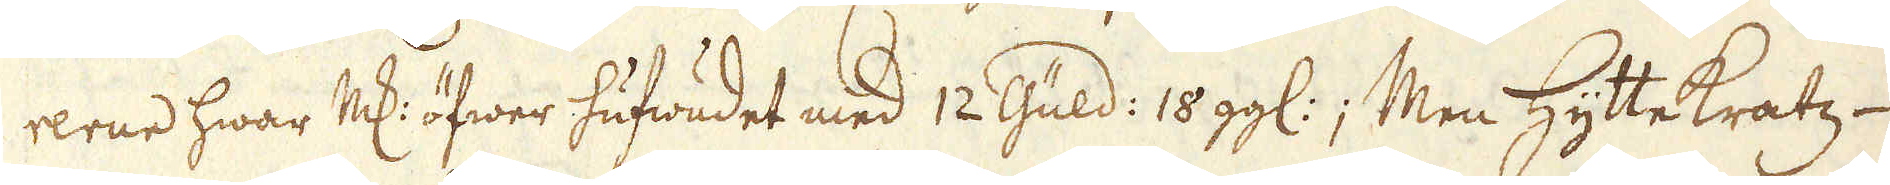rerne hwar Marker öfwer hufwudet med 12 Güld: 18 gg:; Men Hyttekratz-
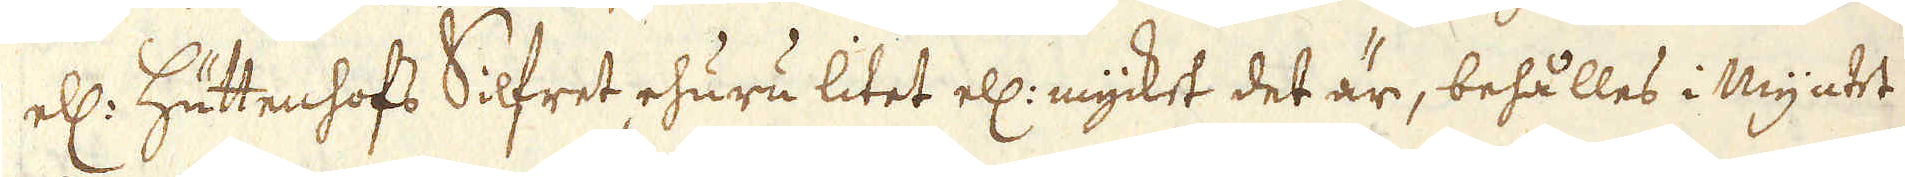ell: Hüttenhofs Silfret, ehuru litet ell: mycket det är, behålles i Myntet
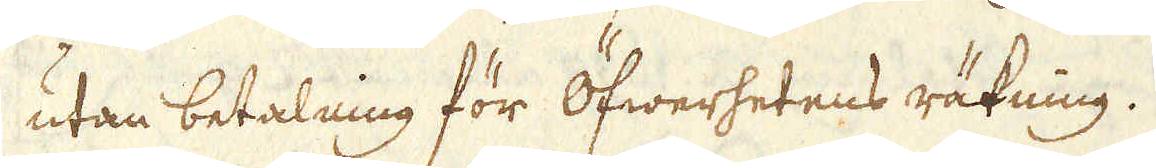utan betalning för Öfwerhetens räkning.
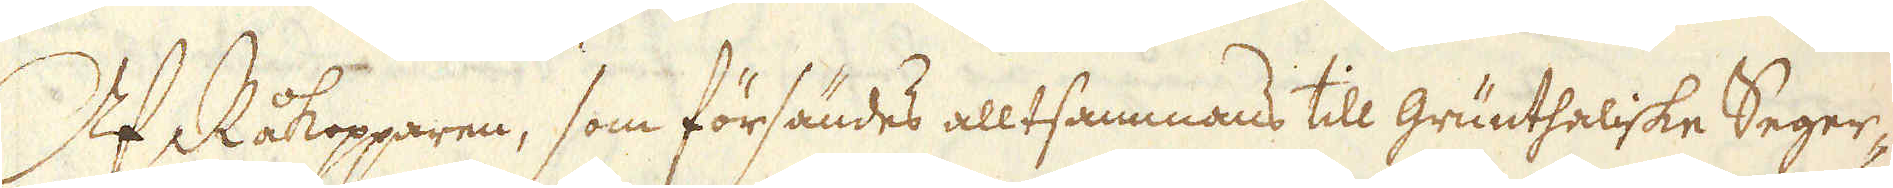Af Råkopparen, som försändes allt sammans till Grünthaliske Seger-
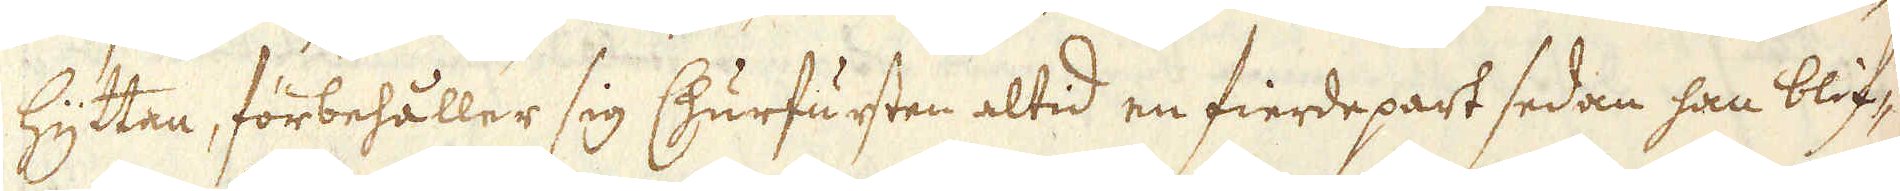hyttan, förbehåller sig Churfursten altid en fierde part sedan han blif-
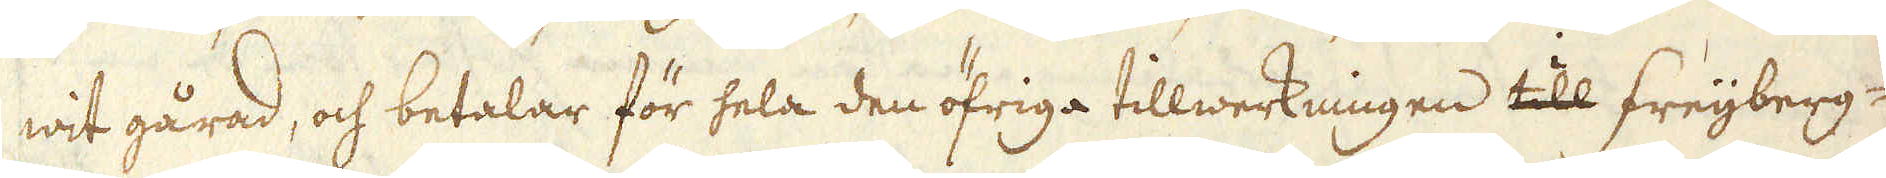wit gårad, och betalar för hela den öfriga tillwerkningen till Freijberg-
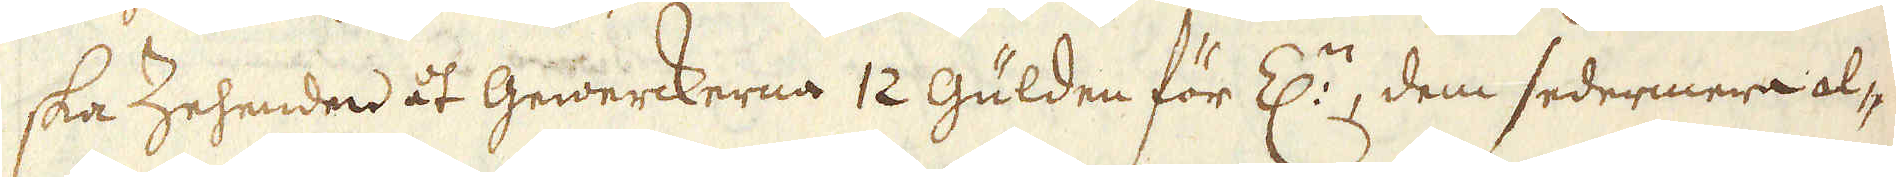ska Zehenden åt Gewerckerna 12 Gülden för Z:n, dem sedermera al-
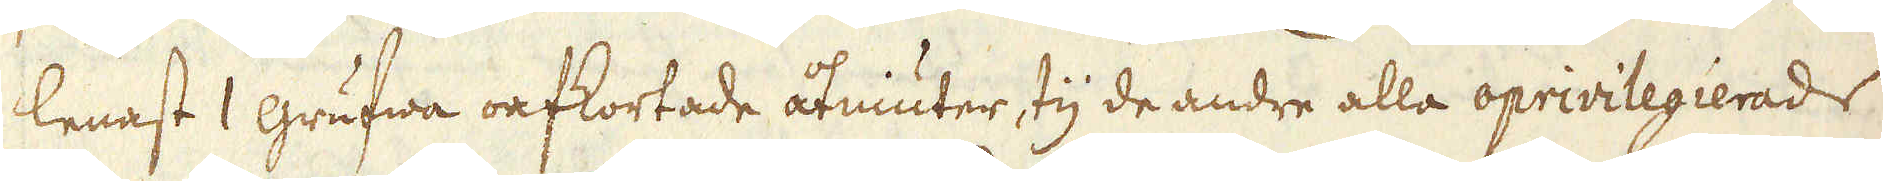lenast 1 grufwa oafkortade åtniuter, ty de andre alla oprivilegierade
